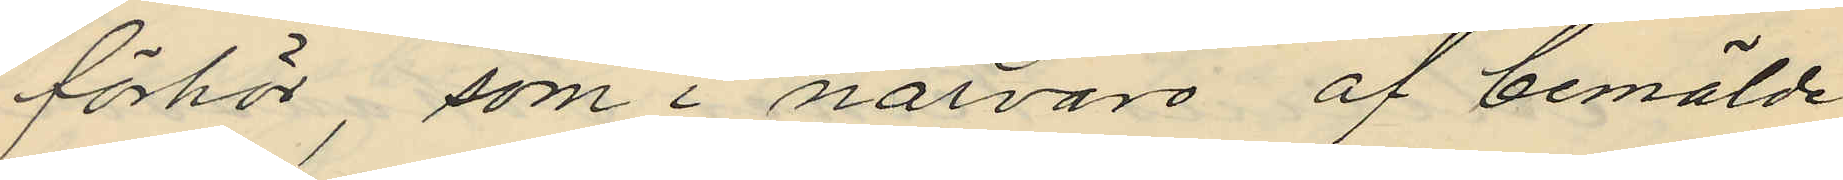förhör, som i närvaro af bemälde
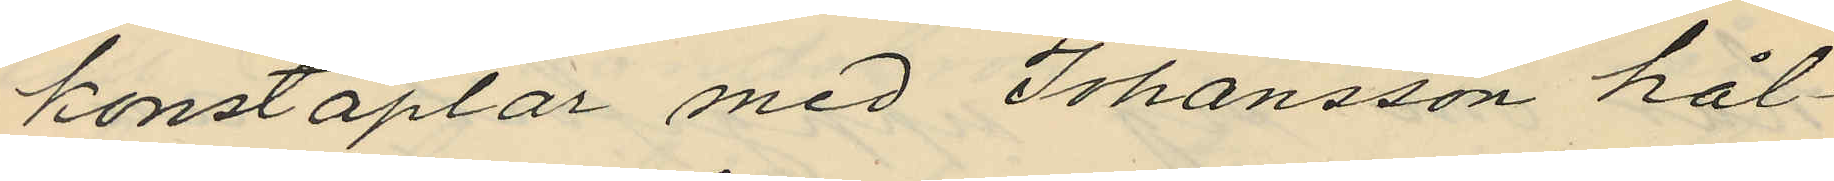konstaplar med Johansson hål¬
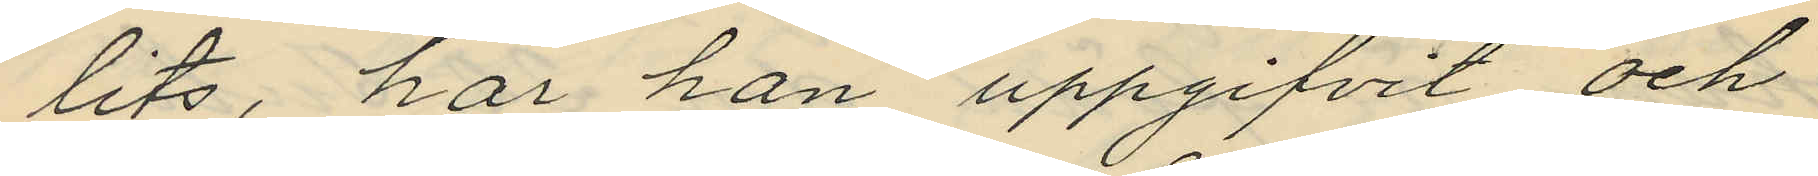tits, har han uppgifvit och
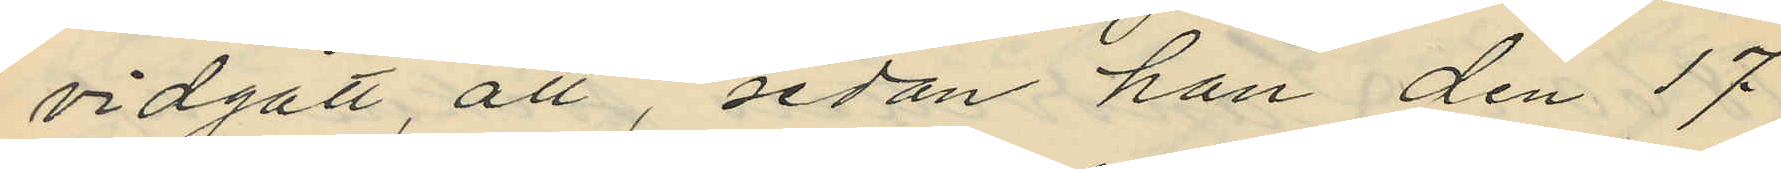vidgått, att, sedan han den 17
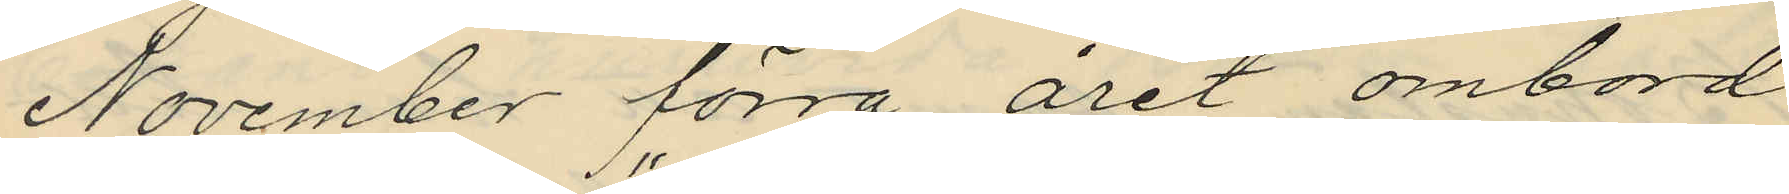November förra året ombord
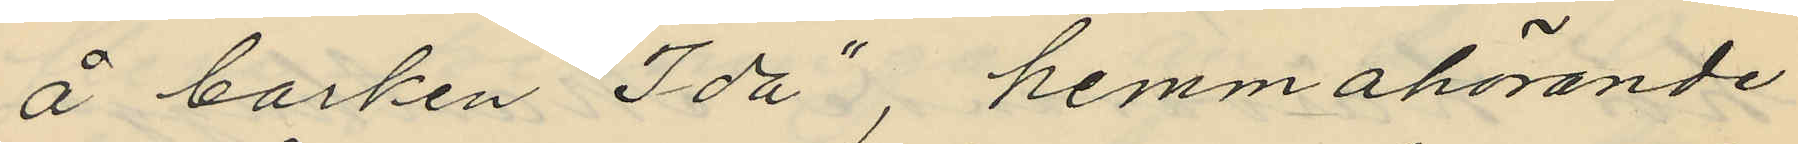å barken "Ida", hemmahörande
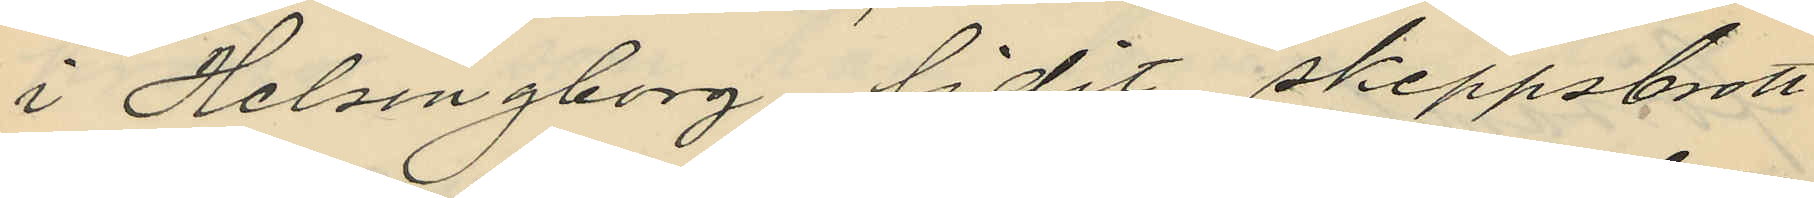i Helsingborg, lidit skeppsbrott
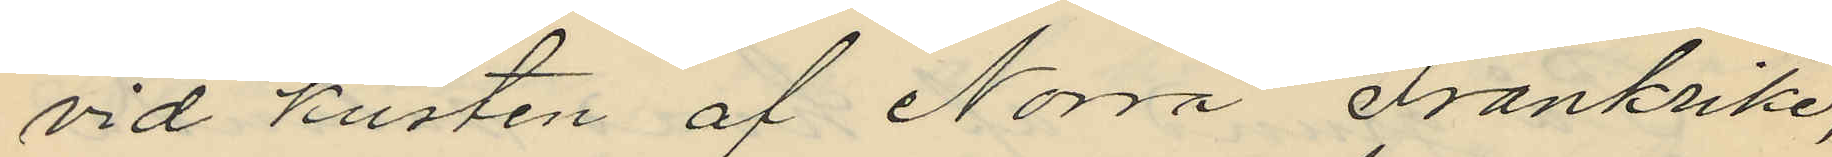vid kusten af Norra Frankrike,
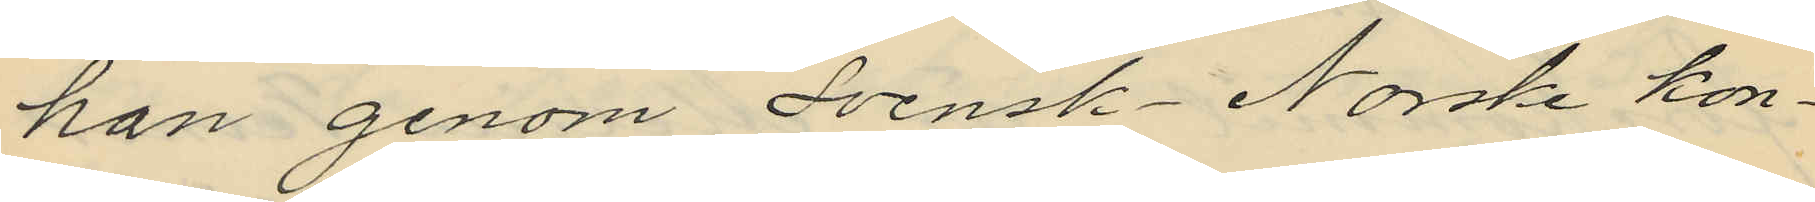han genom Svensk-Norske kon¬
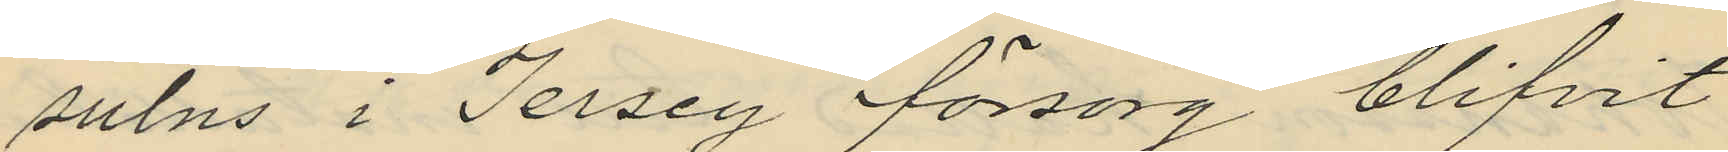sulns i Jersey försorg blifvit
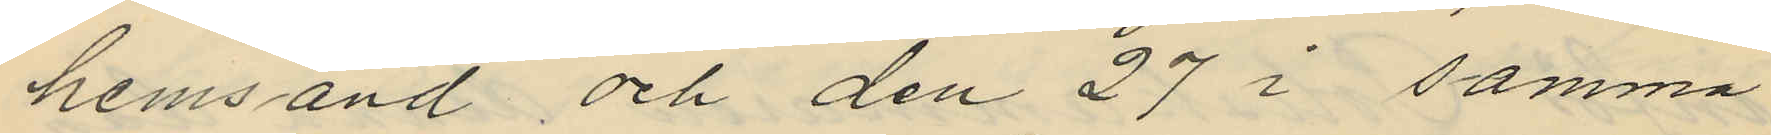hemsänd och den 27 i samma
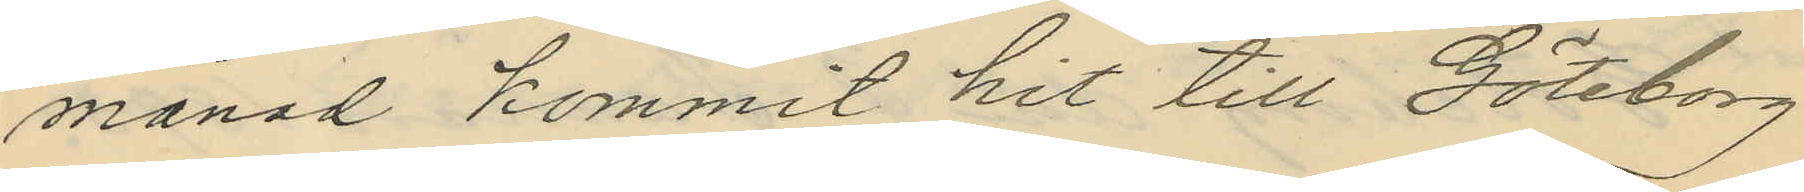månad kommit hit till Göteborg
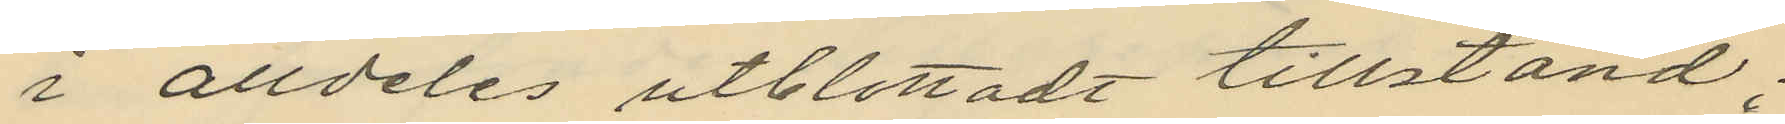i alldeles utblottadt tillstånd;
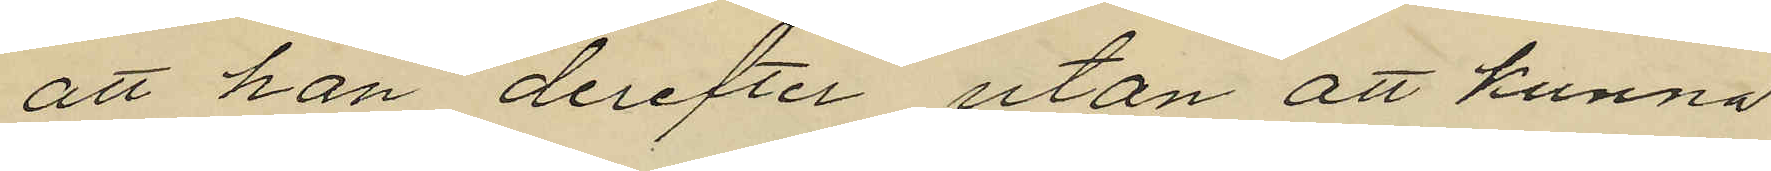att han derefter utan att kunna
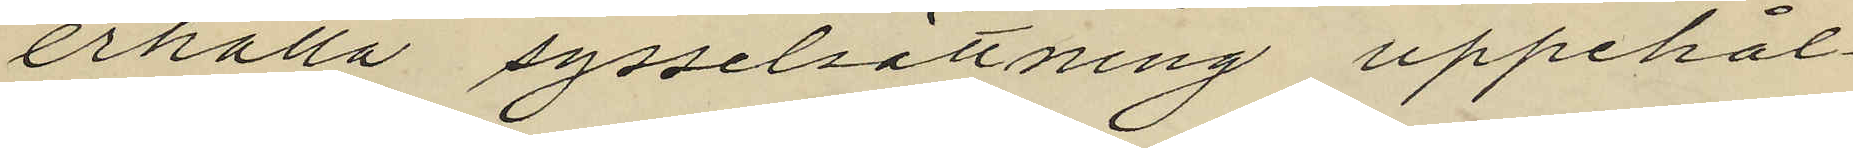erhålla sysselsättning uppehål¬
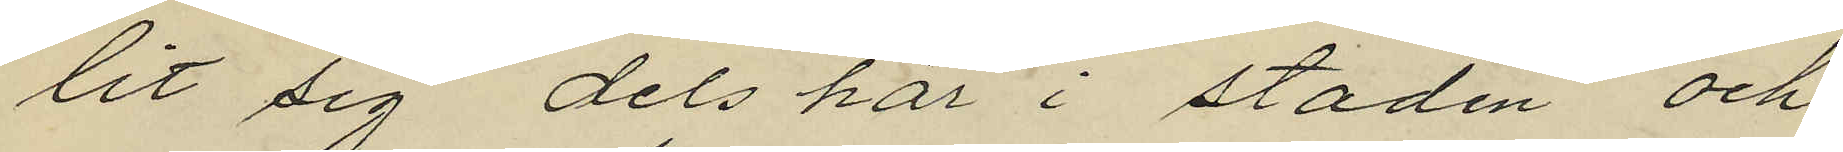lit sig dels här i staden och
